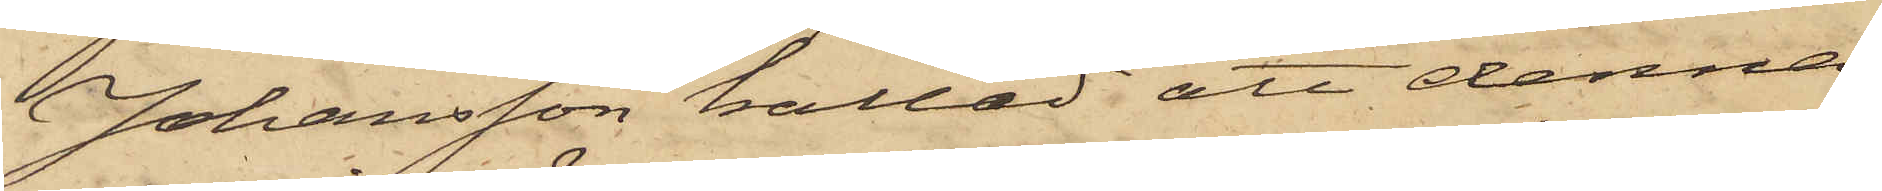Johansson kallad att denna
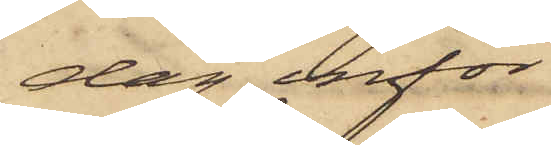dag inför
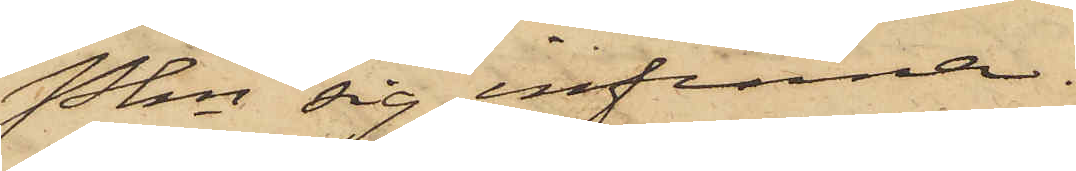Pkn sig infinna.
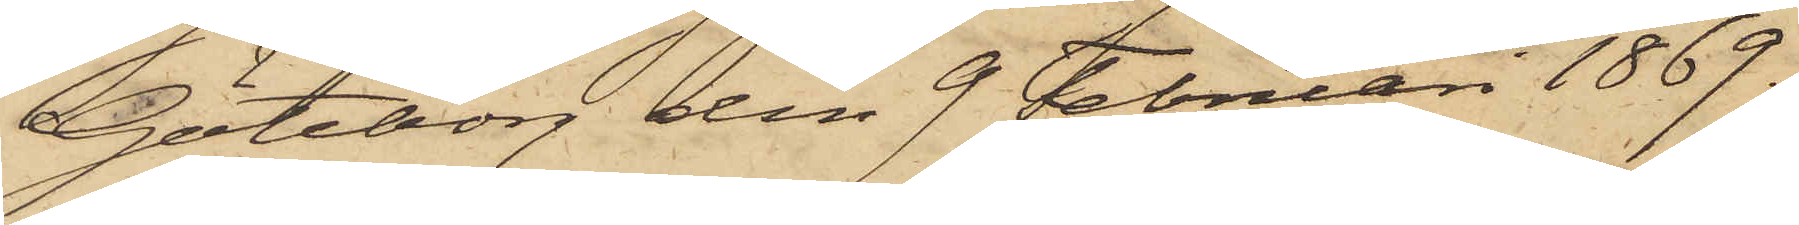Göteborg den 9 Februari 1869.
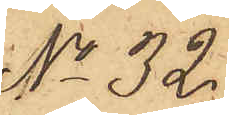No 32.
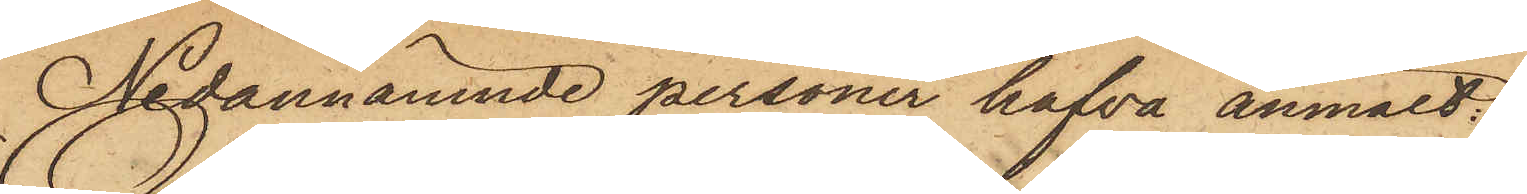Nedannämnde personer hafva anmält:
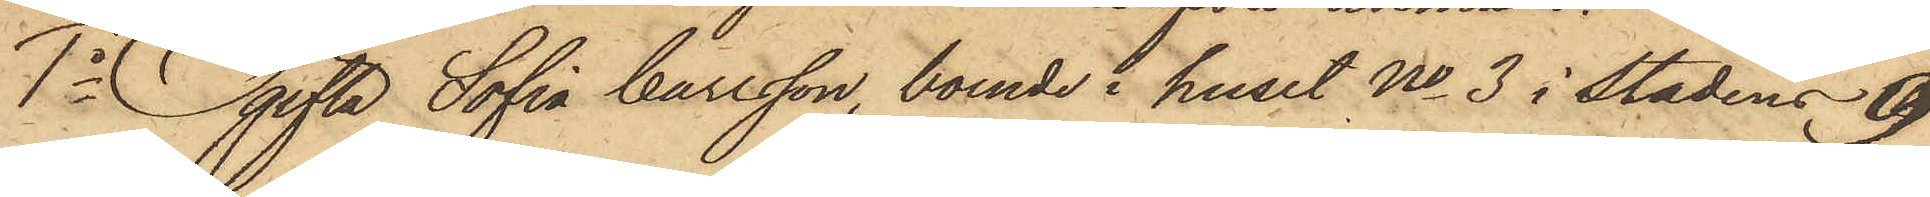1o Ogifta Sofia Carlsson, boende i huset No 3 i stadens 9
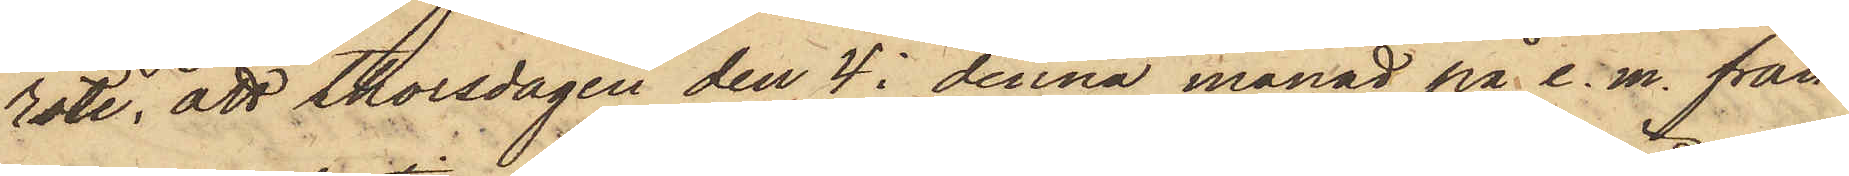rote, att Thorsdagen den 4 i denna månad på e. m. från
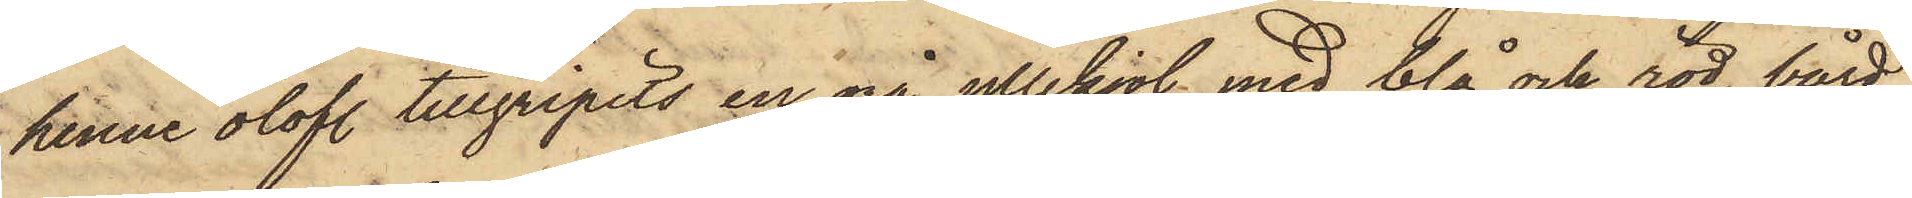henne olofl. tillgripits en grå yllekjol med blå och röd bård,
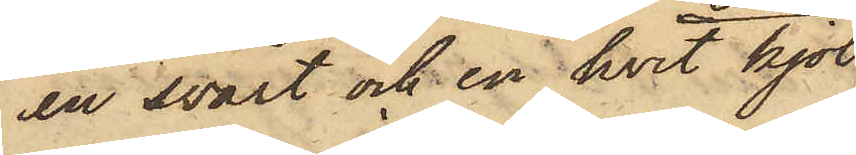en svart och en hvit kjol,
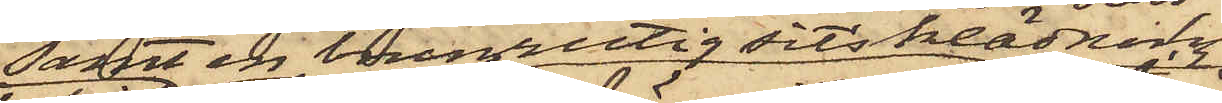samt en brunrutig sitsklädning
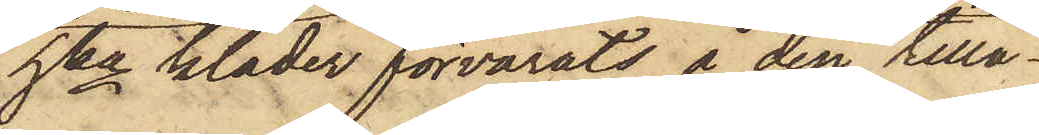hka kläder förvarats å den tillå¬
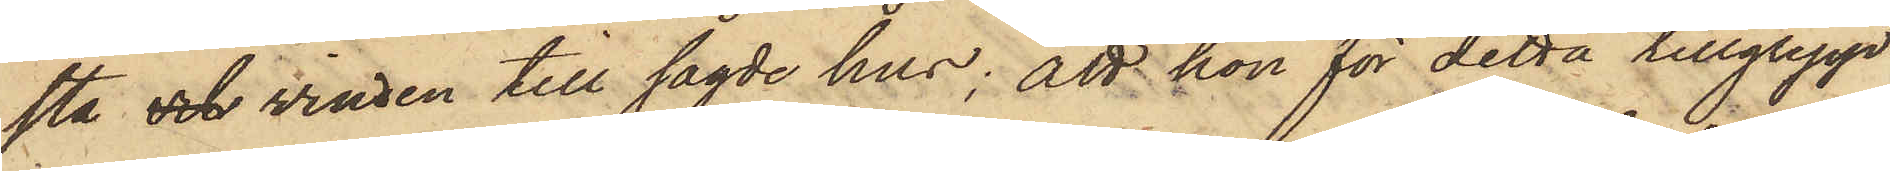sta och vinden till sagde hus; att hon för detta tillgrepp
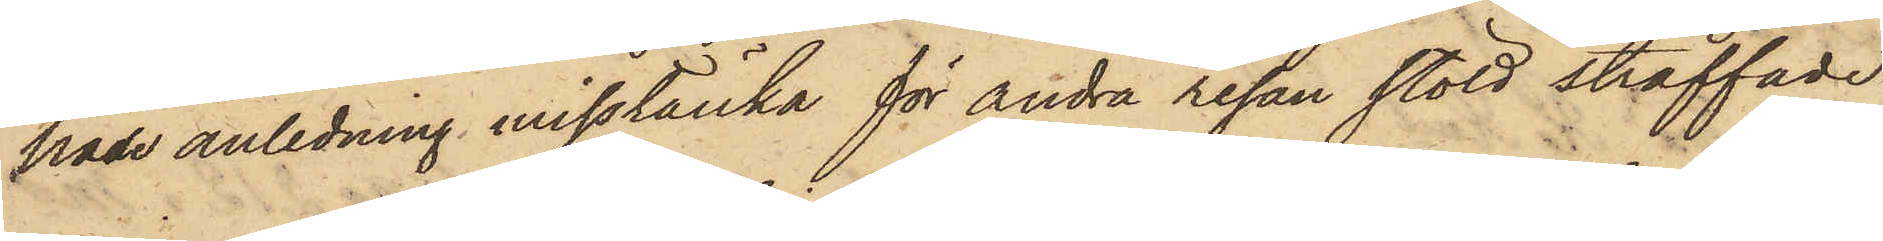hade anledning misstänka för andra resan stöld straffade
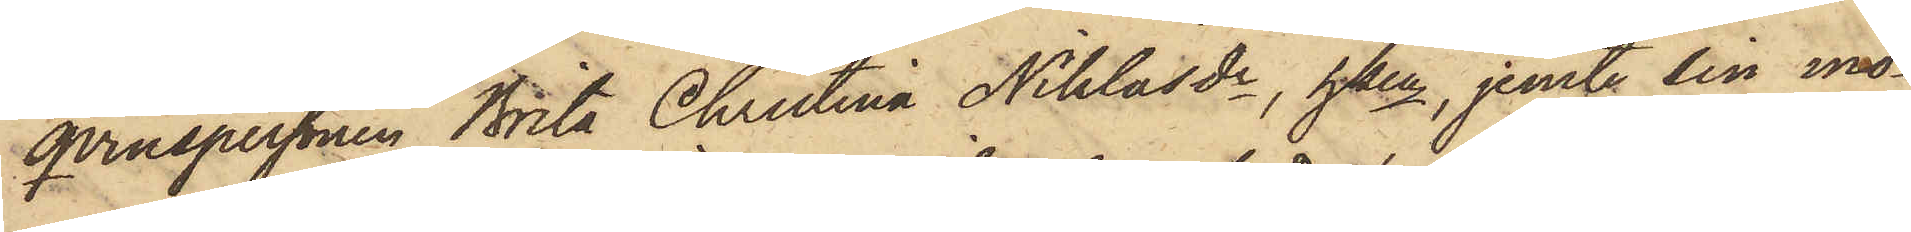qvinspersonen Brita Christina Niklasdr, hken, jemte sin mo¬
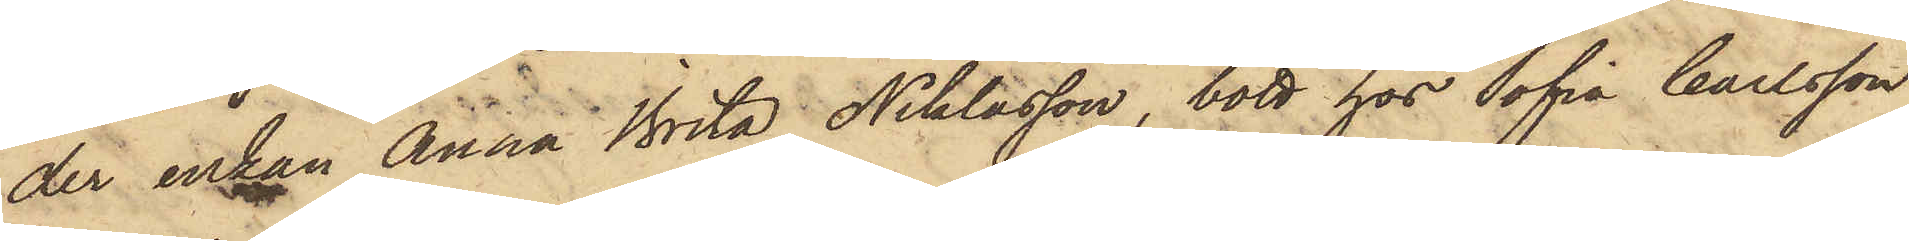der enkan Anna Brita Niklasson, bott hos Sofia Carlsson
